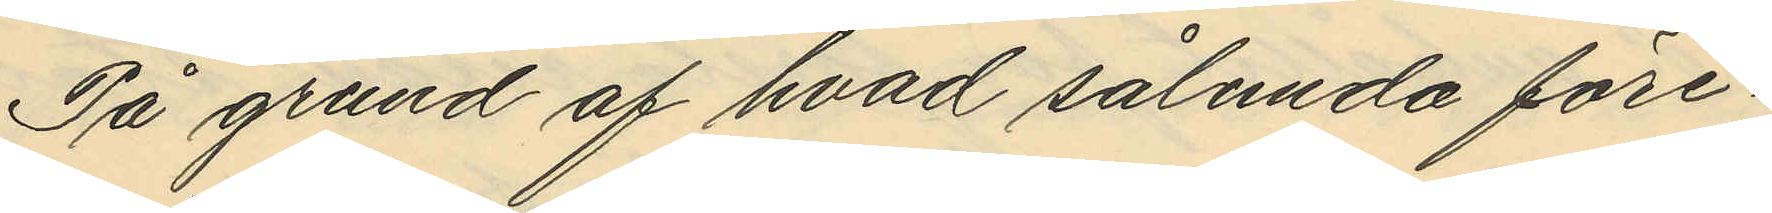På grund af hvad sålunda före¬
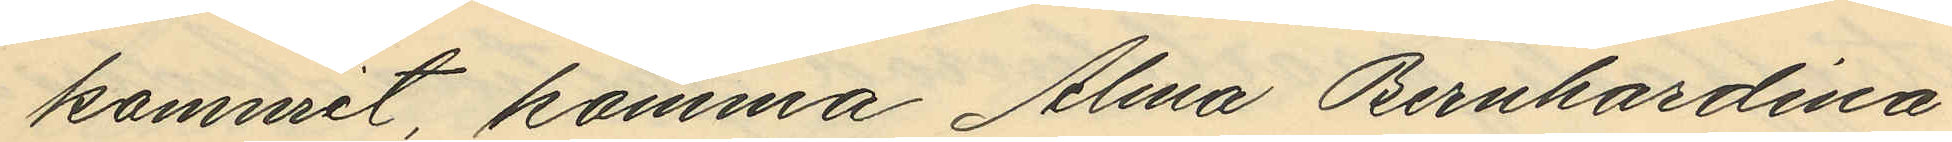kommit, komma Alma Bernhardina
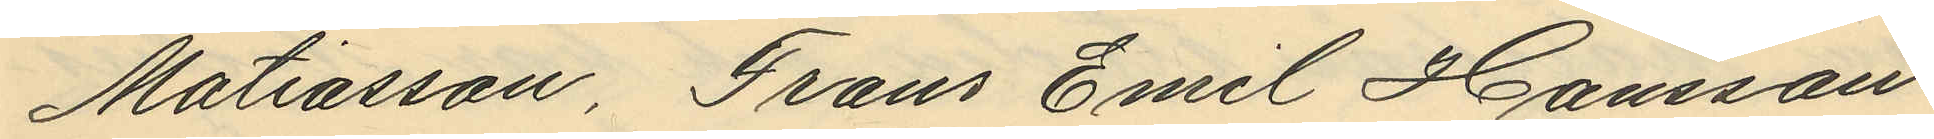Mattiasson, Frans Emil Hansson
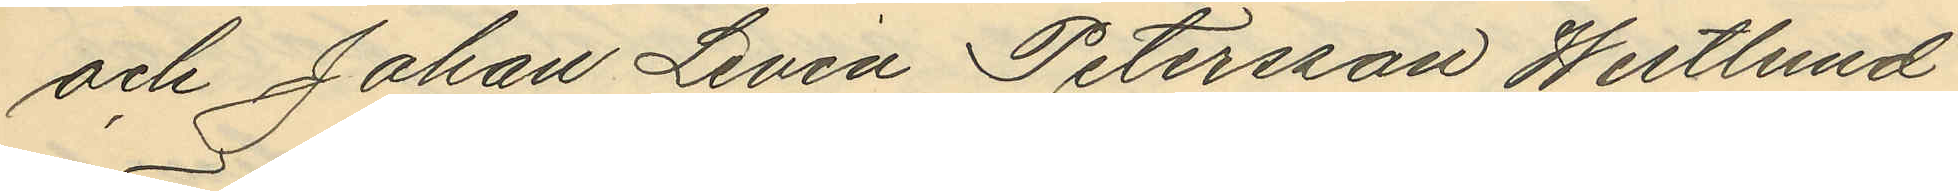och Johan Levin Petersson Westlund
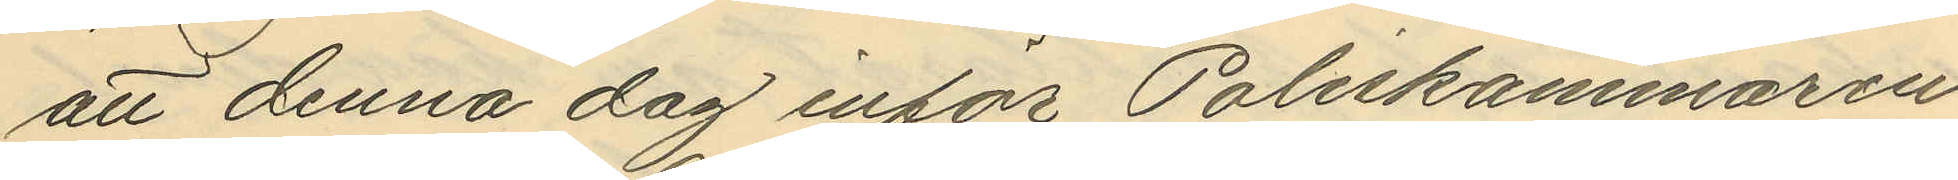att denna dag inför Poliskammaren
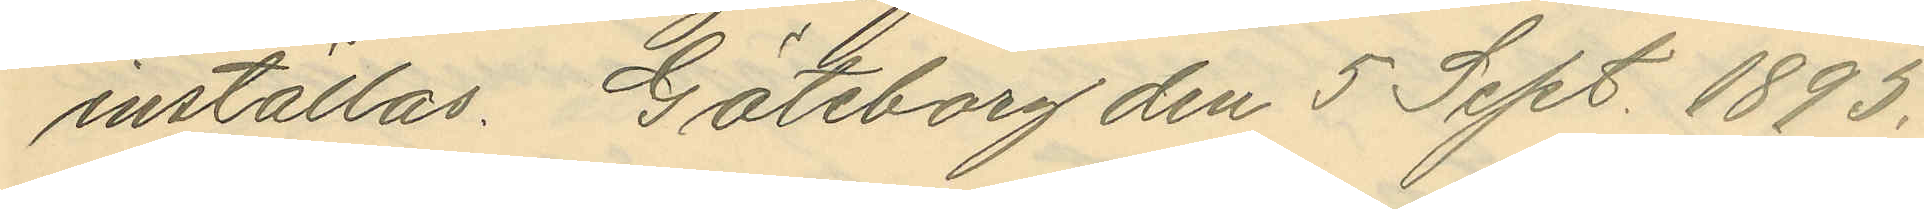inställas. Göteborg den 5 Sept. 1893.
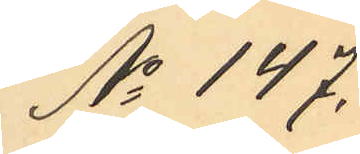No 147.
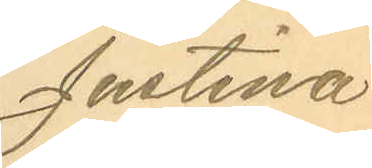Justina
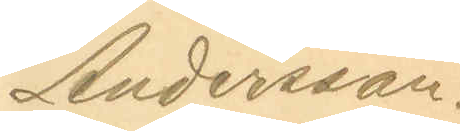Andersson.
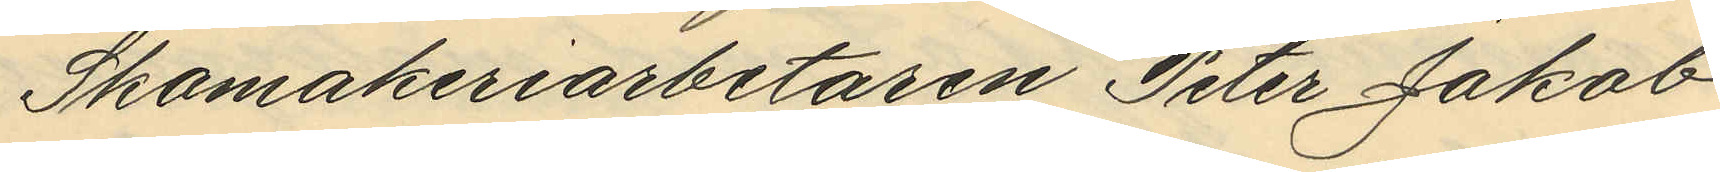Skomakeriarbetaren Peter Jakob
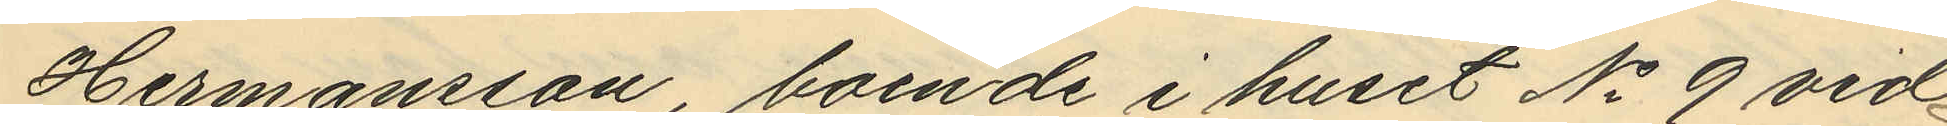Hermansson, boende i huset No 9 vid
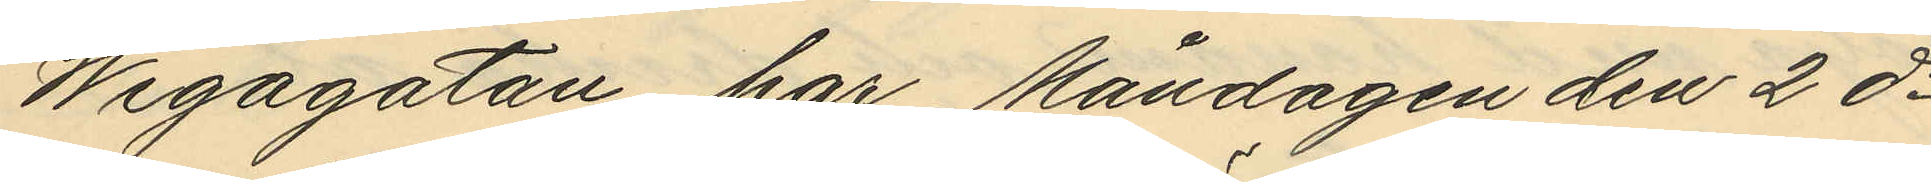Wegagatan har Måndagen den 2 ds
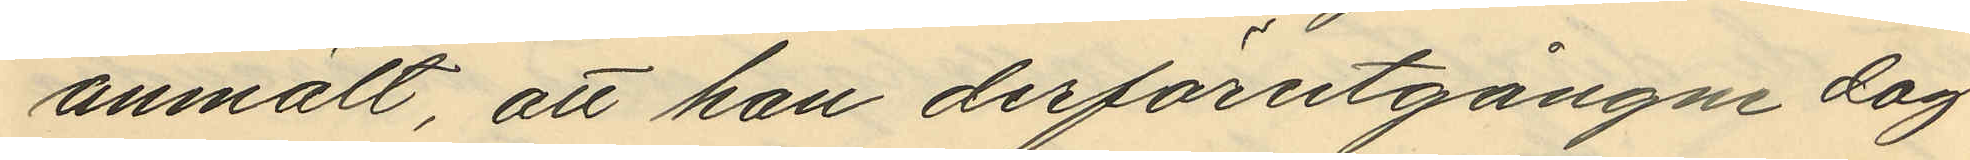anmält, att han derförutgångne dag
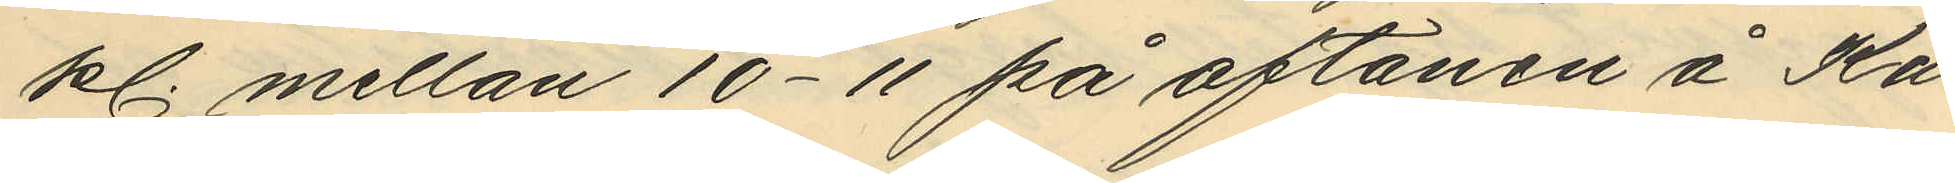kl. mellan 10-11 på aftonen å Ka¬
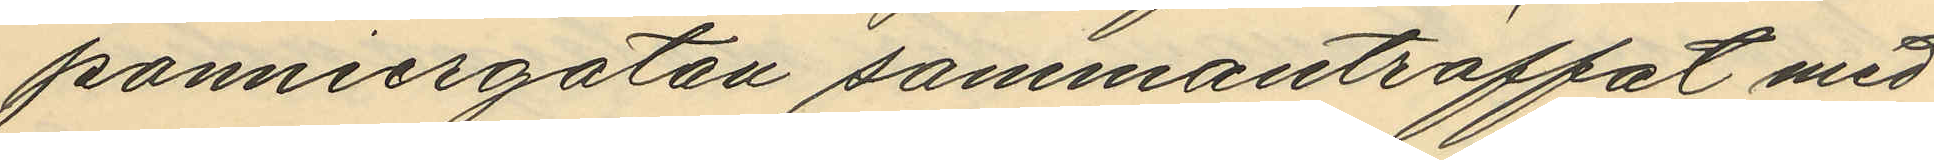ponniergatan sammanträffat med
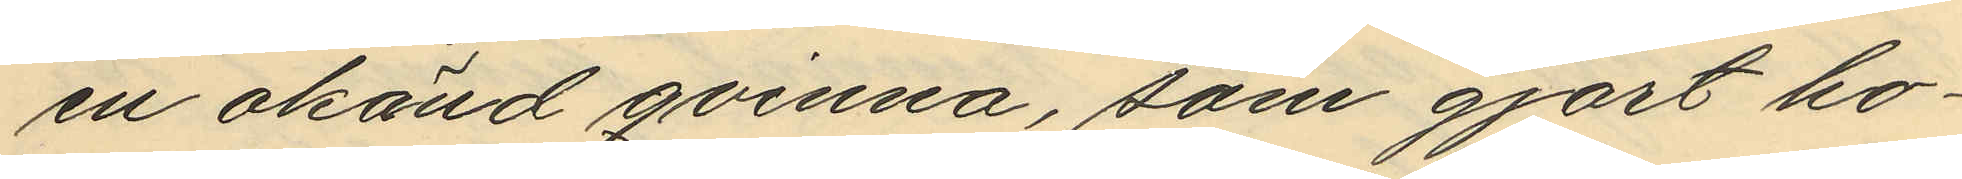en okänd qvinna, som gjort ho¬
